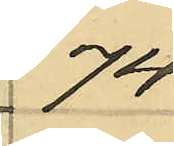74
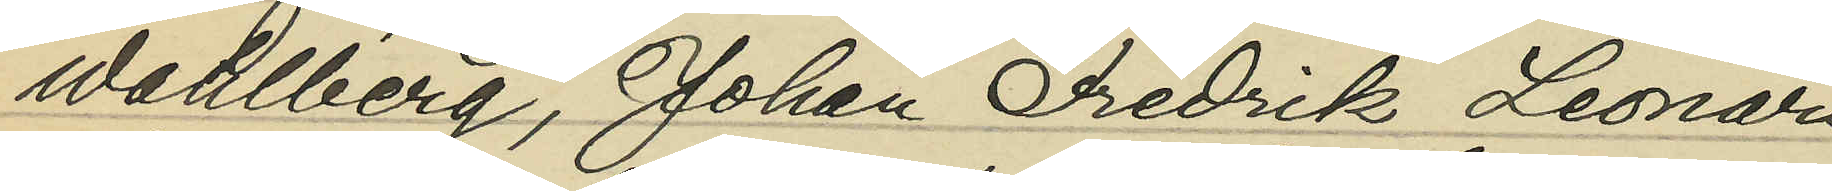Wahlberg, Johan Fredrik Leonard
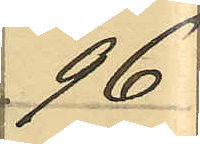96
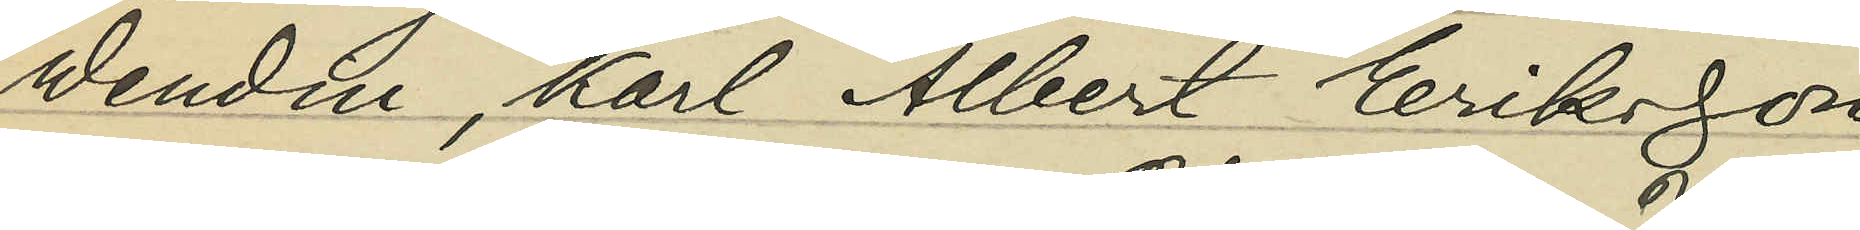Wendin, Karl Albert Eriksson
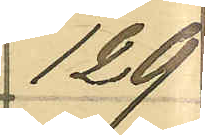129
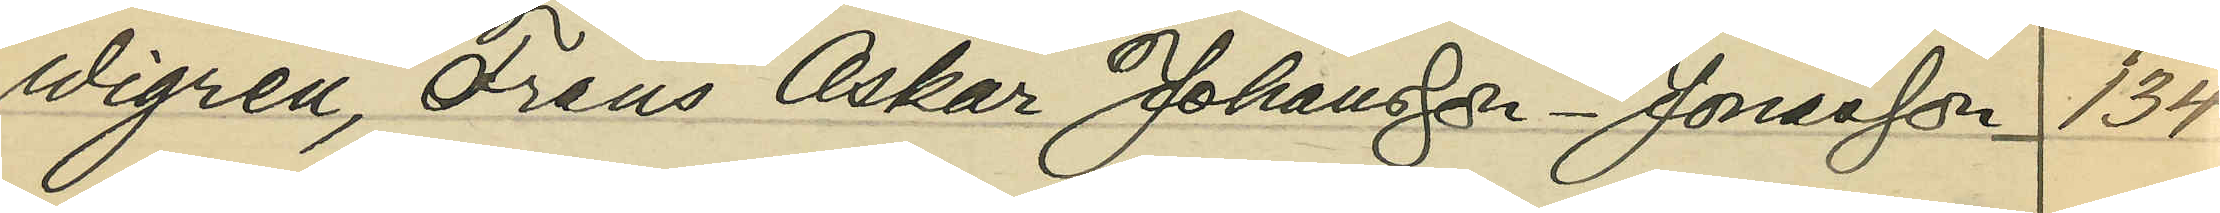Wigren, Frans Oskar Johansson-Jonasson 134
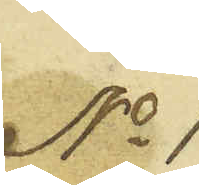No 1
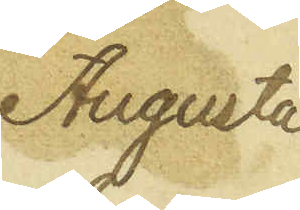Augusta
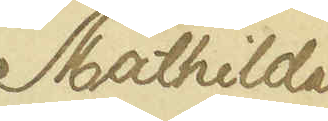Mathilda
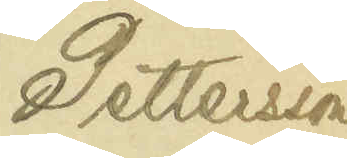Pettersson
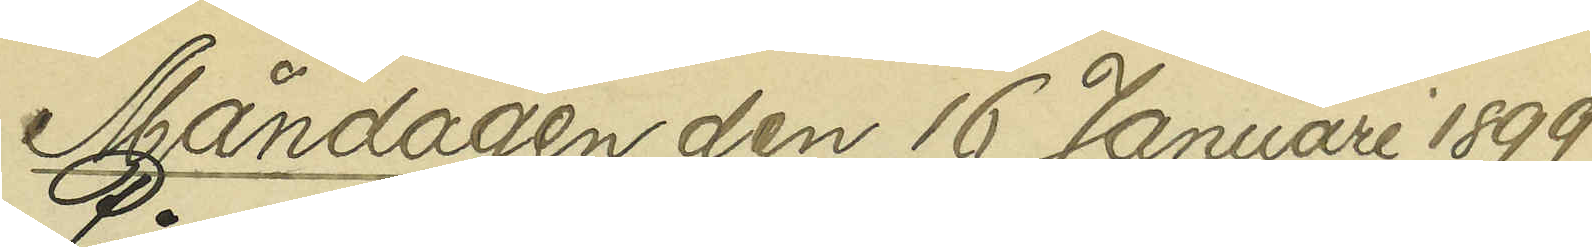Måndagen den 16 Januari 1899.
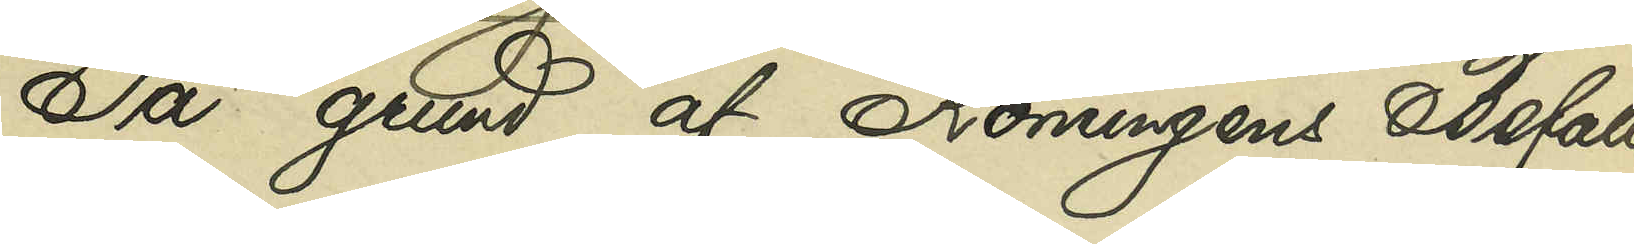På grund af Konungens Befall¬
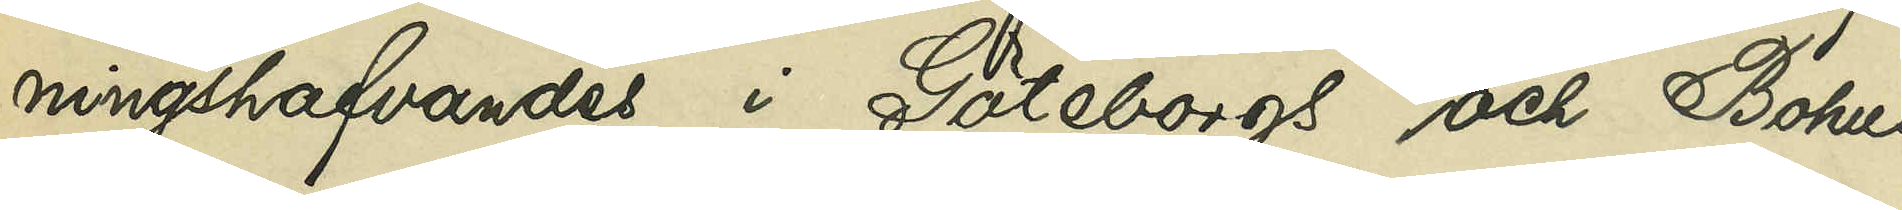ningshafvandes i Göteborgs och Bohus
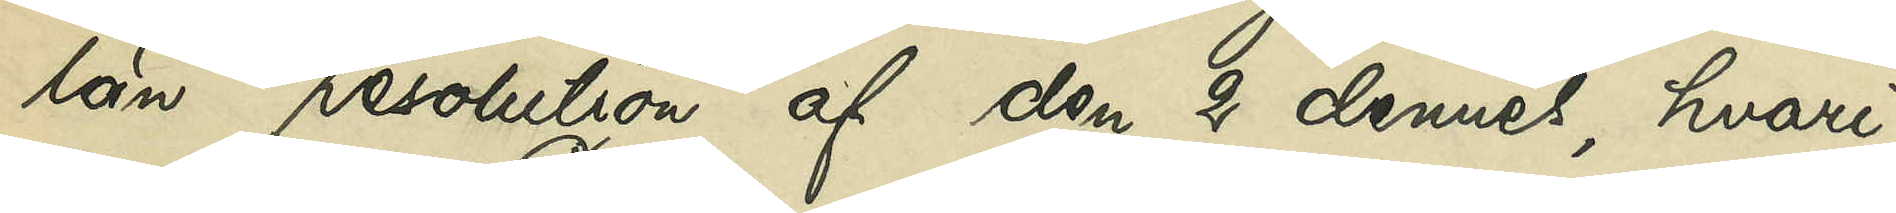län resolution af den 2 dennes, hvari¬
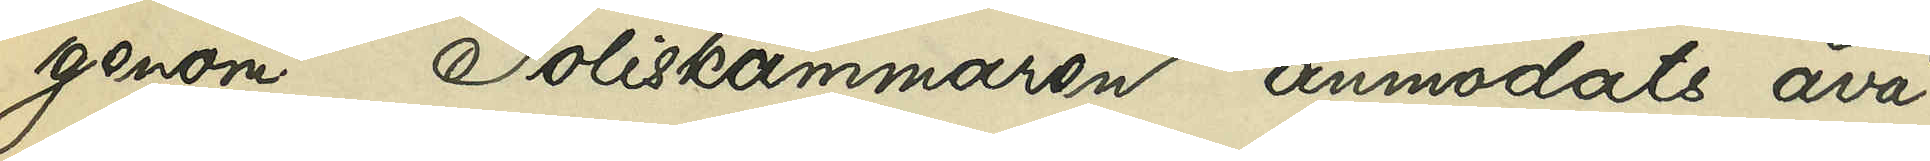genom Poliskammaren anmodats åvä¬
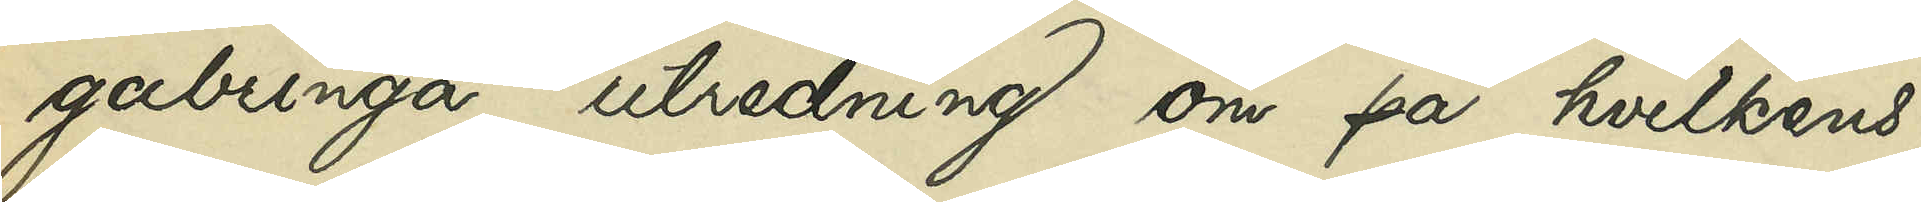gabringa utredning om på hvilkens
